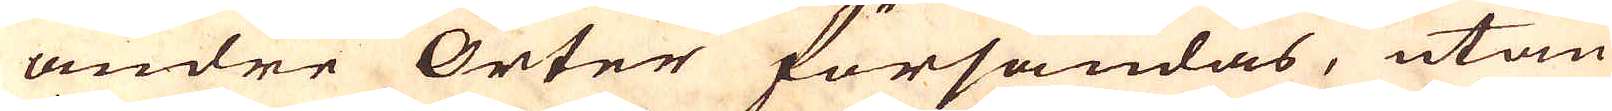andre Orter försändas, utan
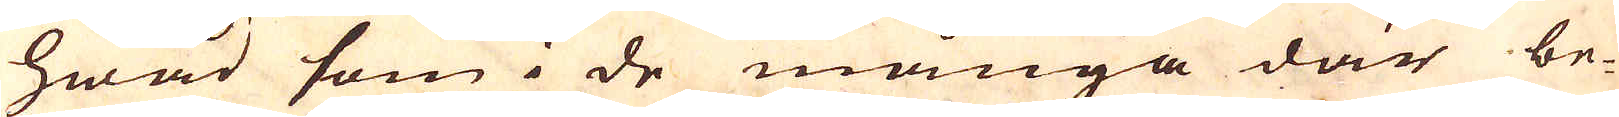hwad som i de många där be-
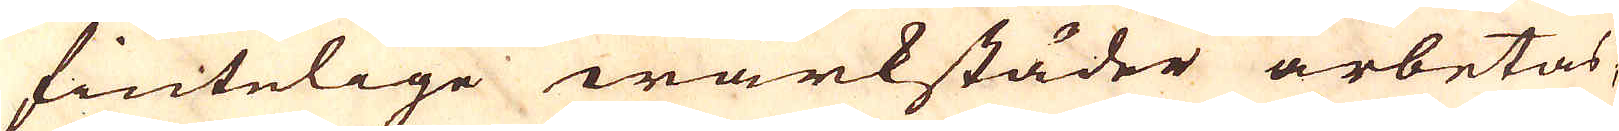fintelige wärkstäder arbetas,
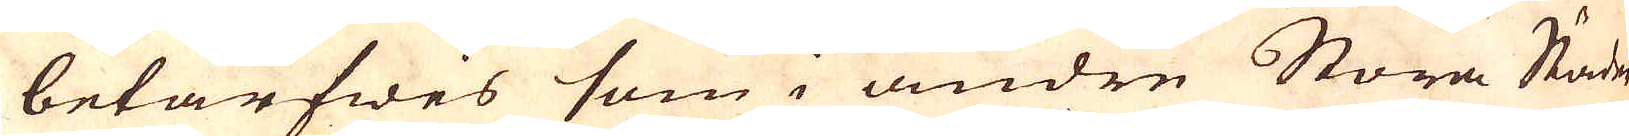betarfwes som i andre Stora Städer
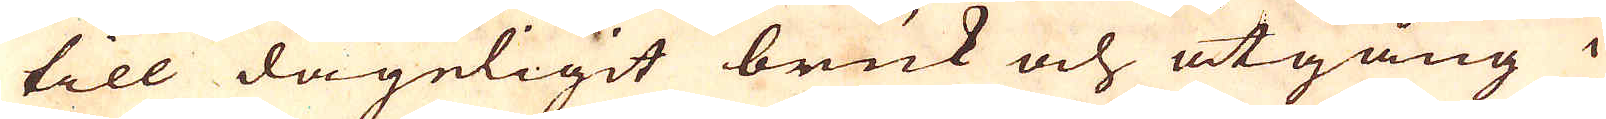till dageligit bruk och åtgång i
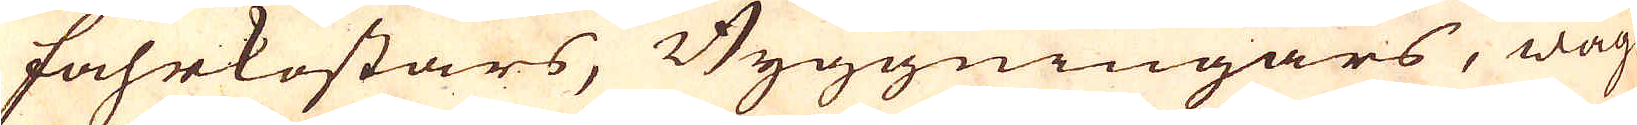fahrkostars, Byggningars, wag-
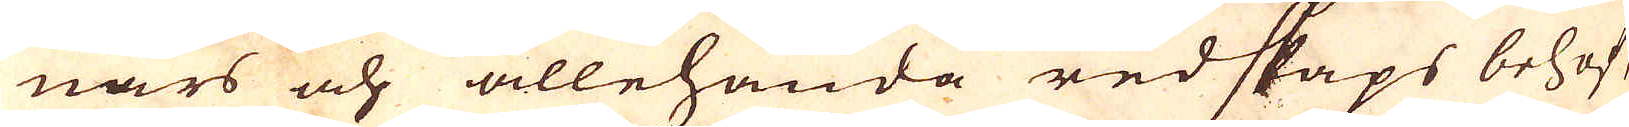nars och allehanda redskaps behof,
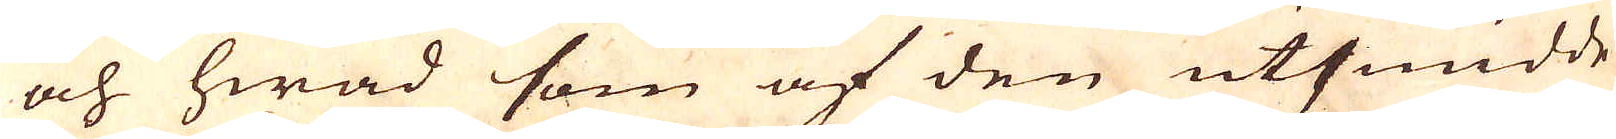och hwad som af den utsmidde
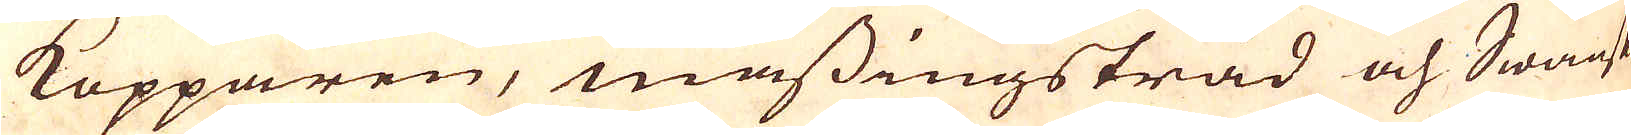Kopparen, mässingstråd och Swänskt
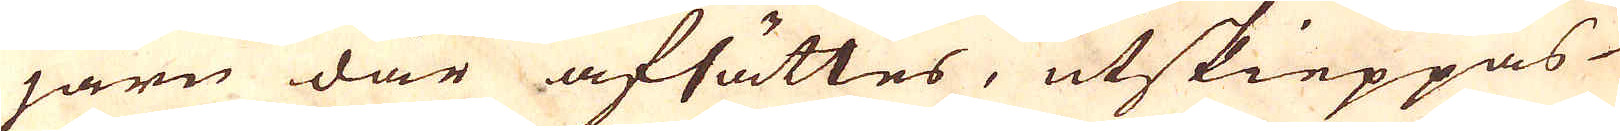järn där afsättes, utskieppas
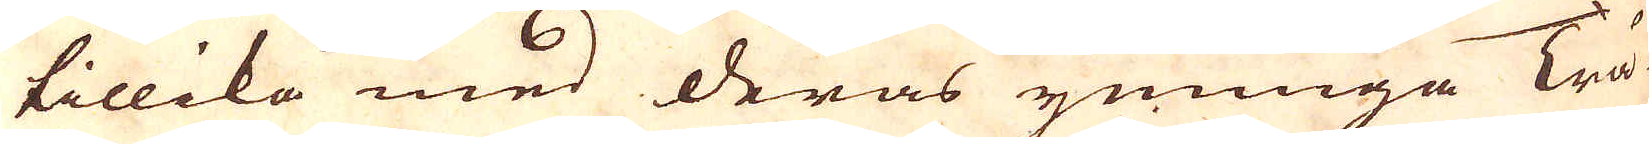tillika med deras ymniga Trä-
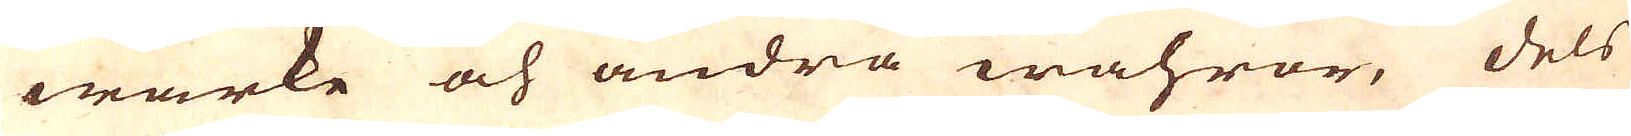wärke och andra wahror, dels
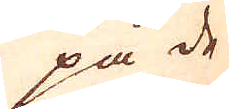på de
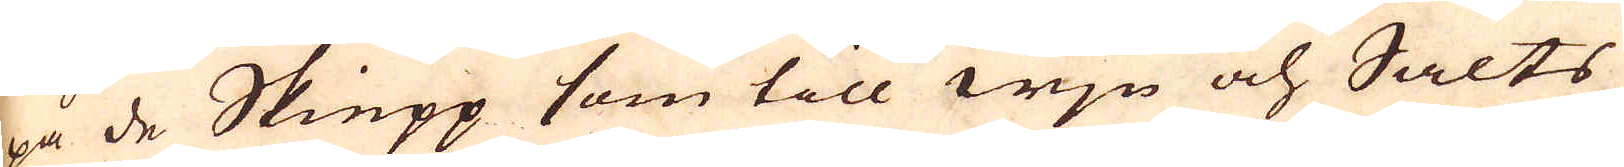på de Skiepp som till wjn och Salts
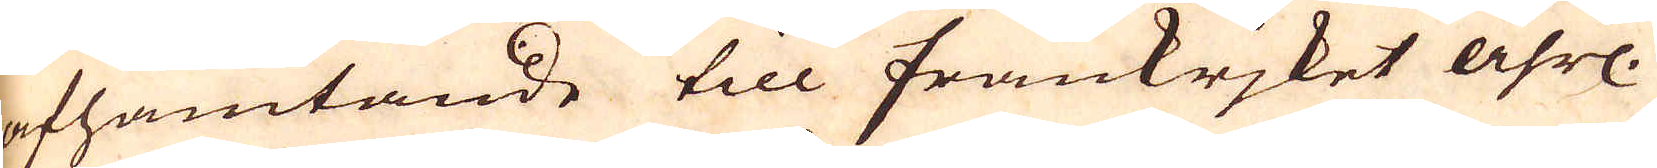afhämtande till Frankrjket åhrl.
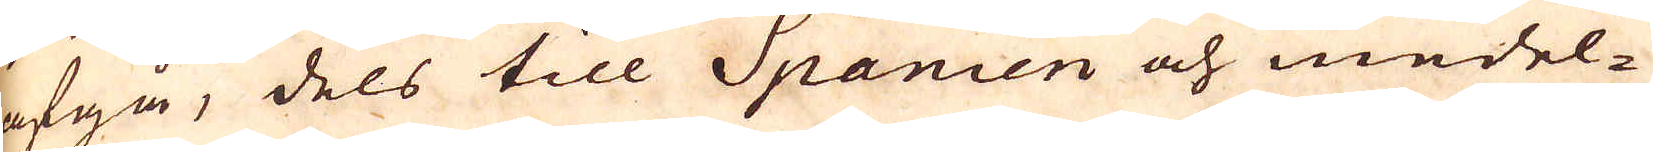afgå, dels till Spanien och medel-
